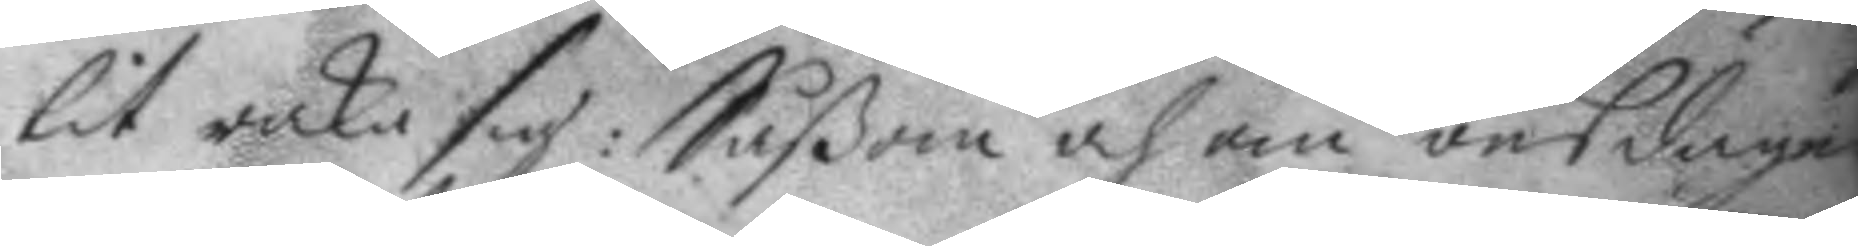lit raka sig: Såßom och om onsdagen
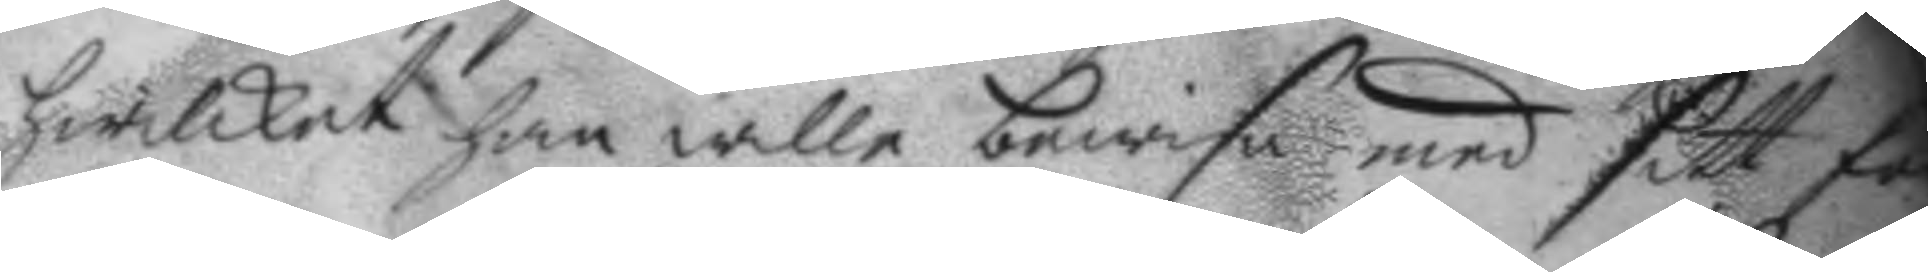hwilket han wille bewisa med sitt fe
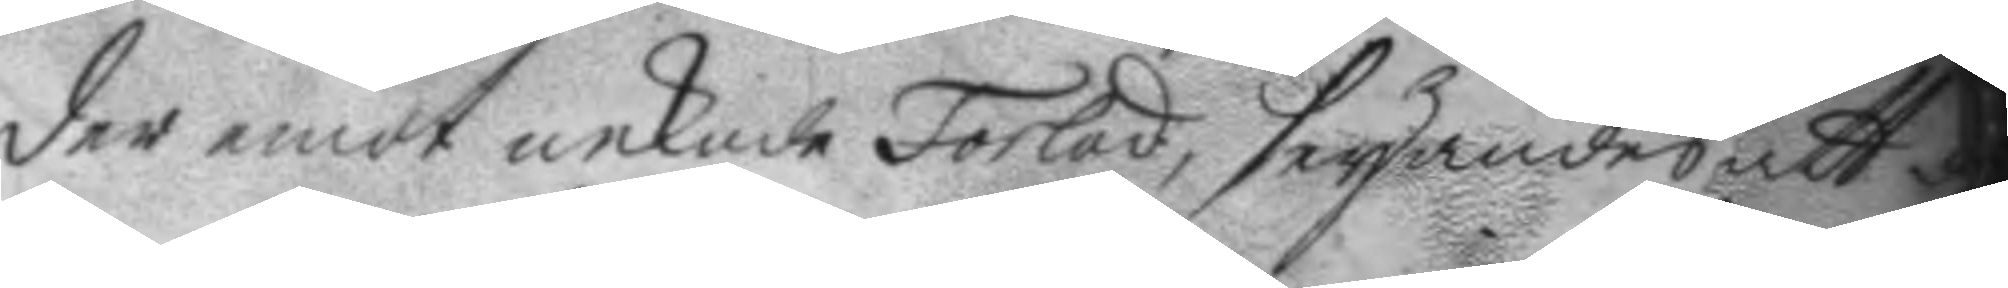der emot nekade Forlad, seyandes att
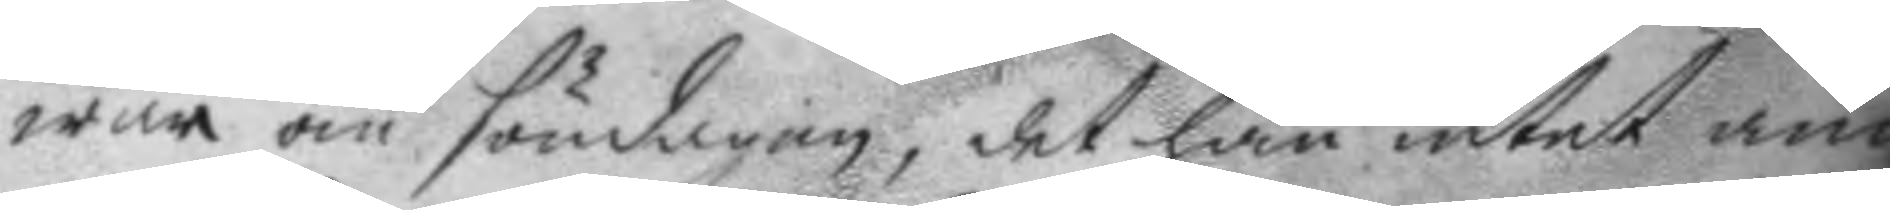mer om söndagen, det han intet anna
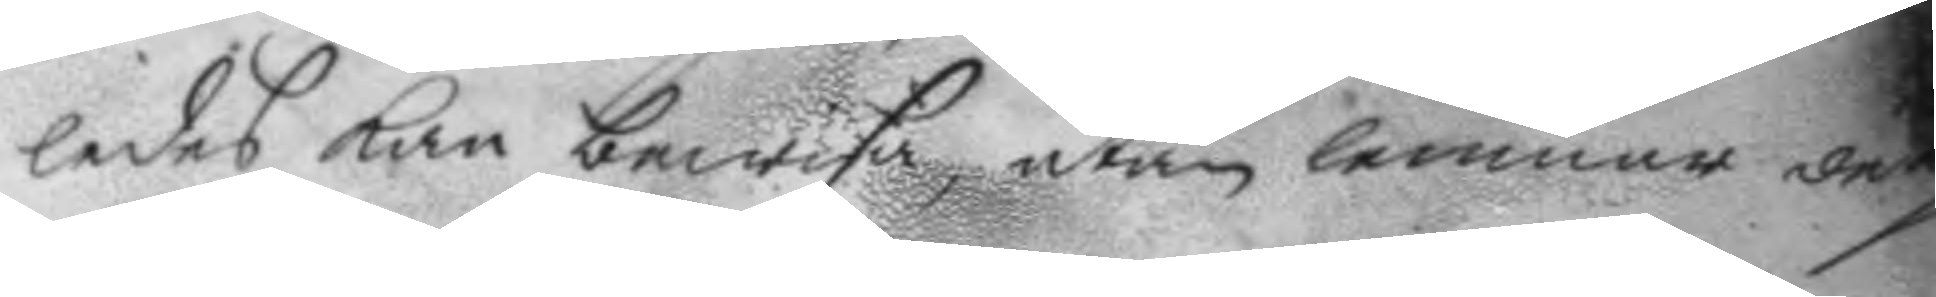ledes kan bewysa, utan lemnar derp
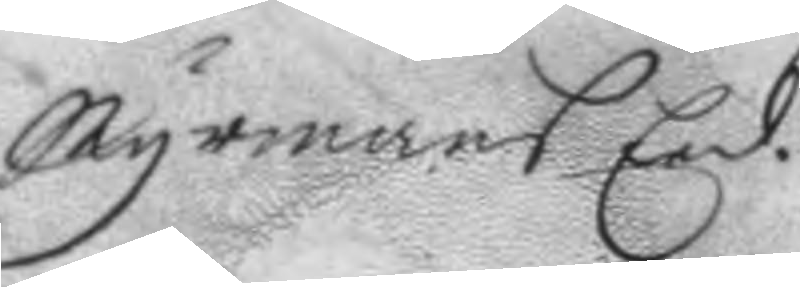Myrmans Eed.
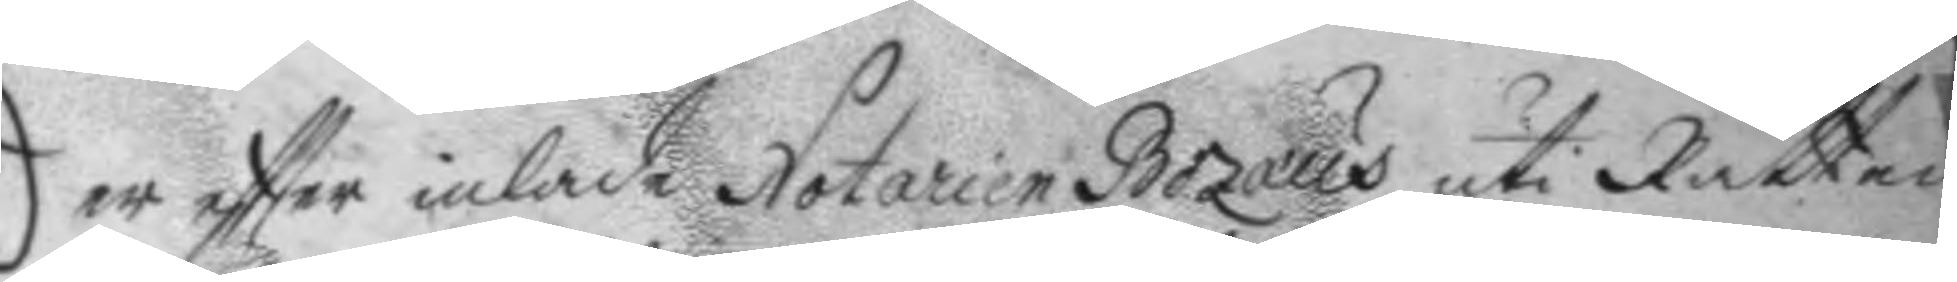Der eftter inlade Notarien Bozaus uti Rätten
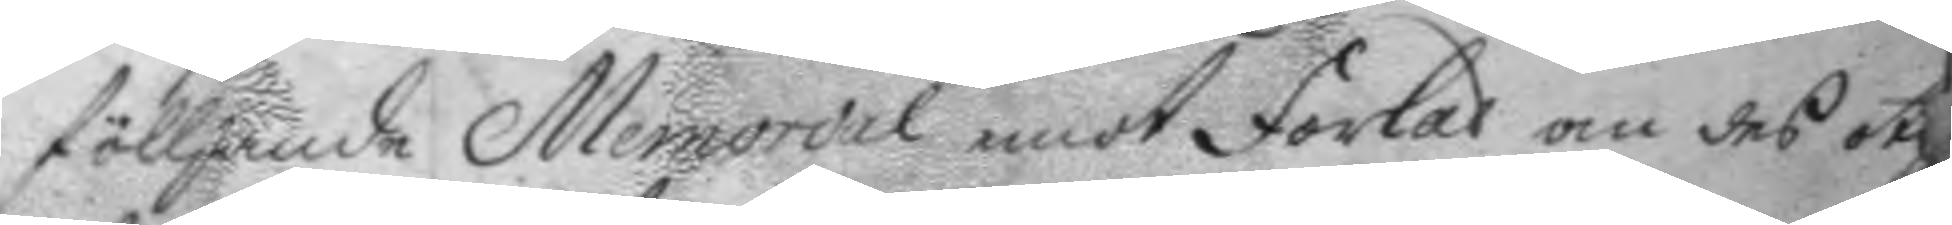fölljande Memorial emot forlad om des ot
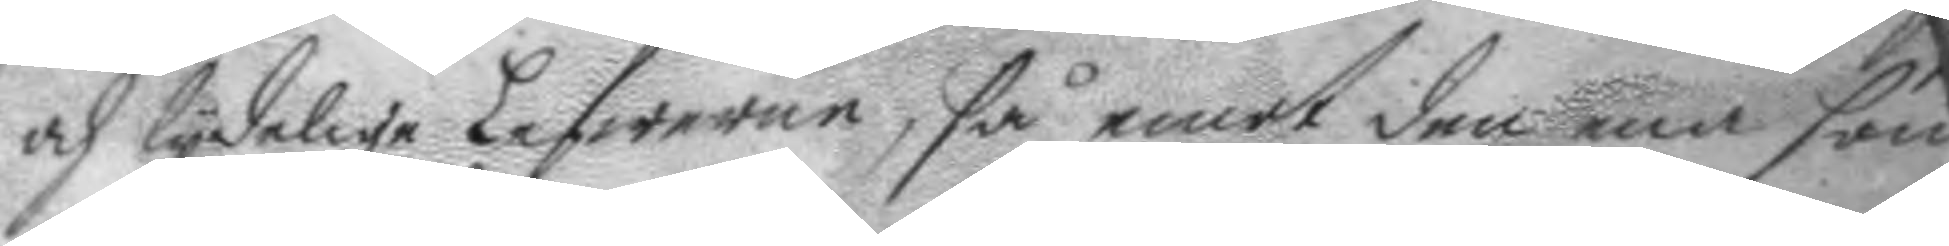och lydelige Lefwerne, så emot den ena som
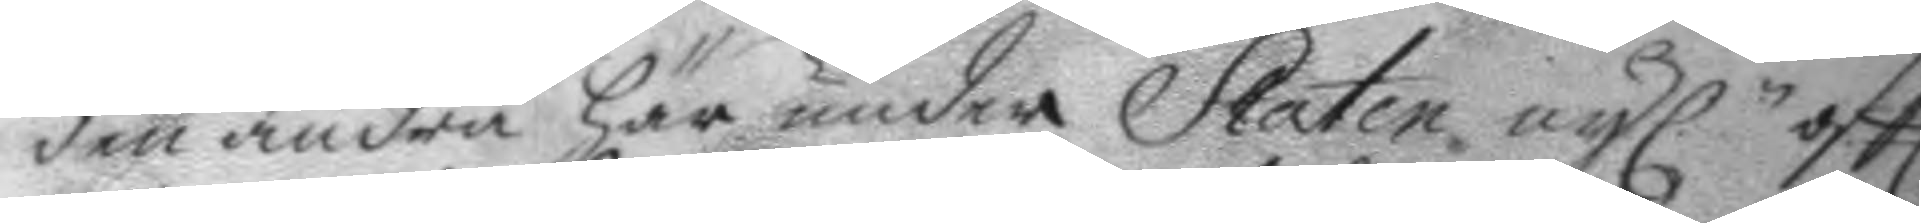den andra här under Staten oyl.n oftl.
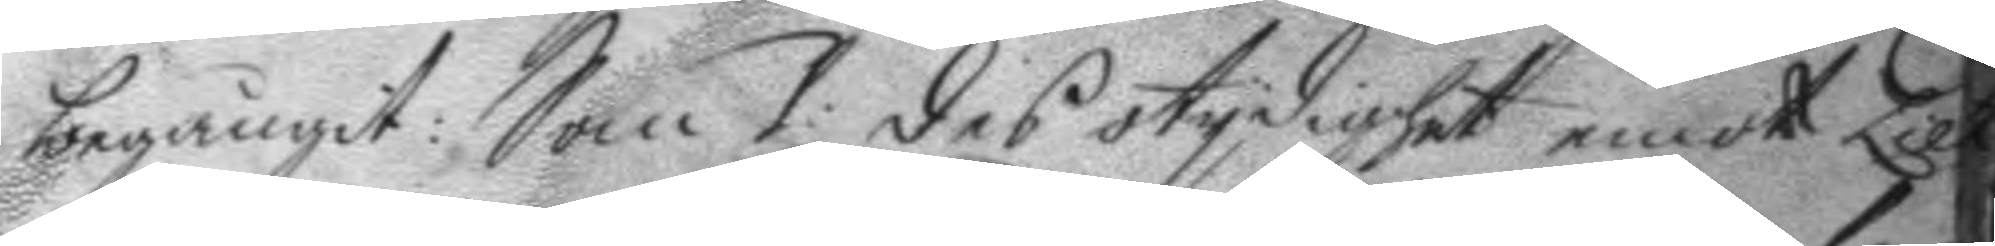begångit: Som 1. des stydighet emot Lieut
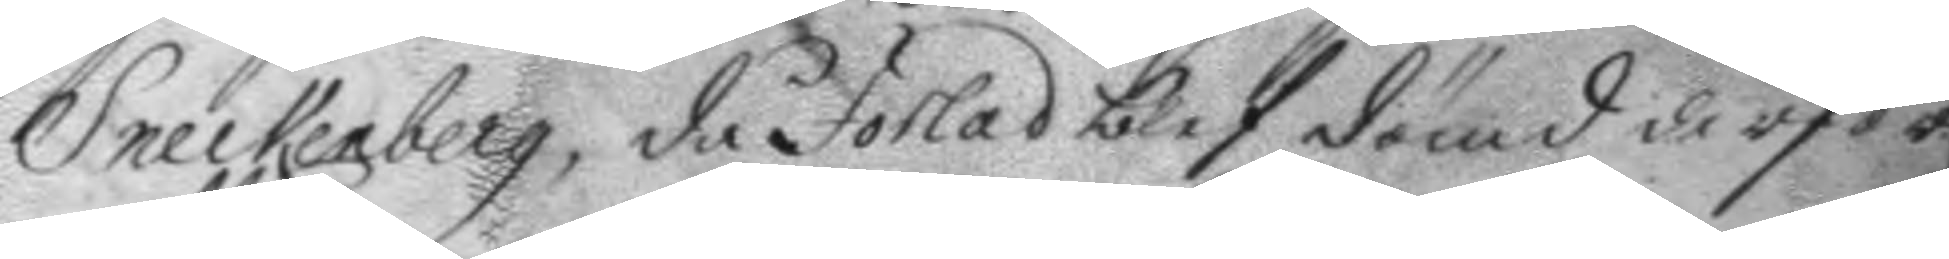Sneckenberg, då Forlad blef dömd derfor
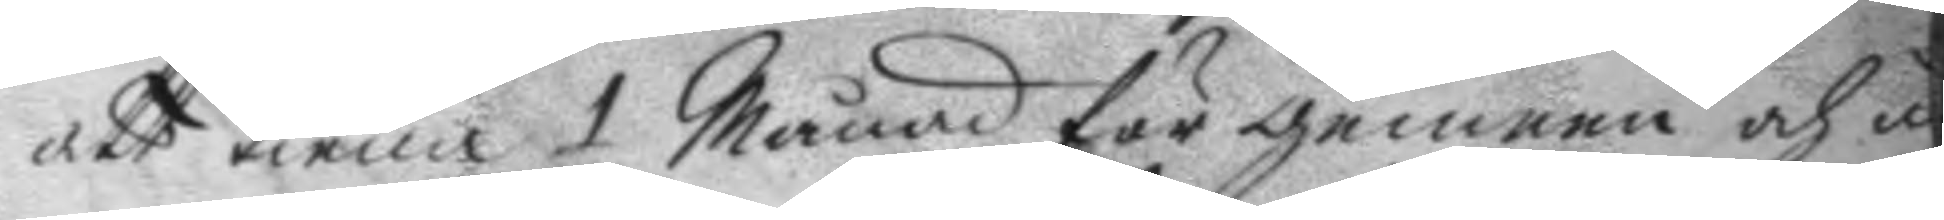att tiena 1 Månad för gemen och u
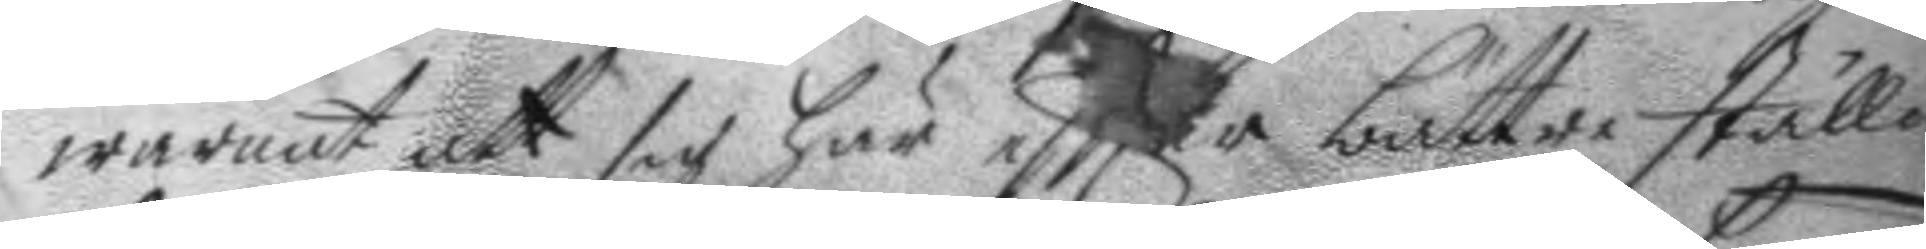warnat att sig här eftter bättre ställa
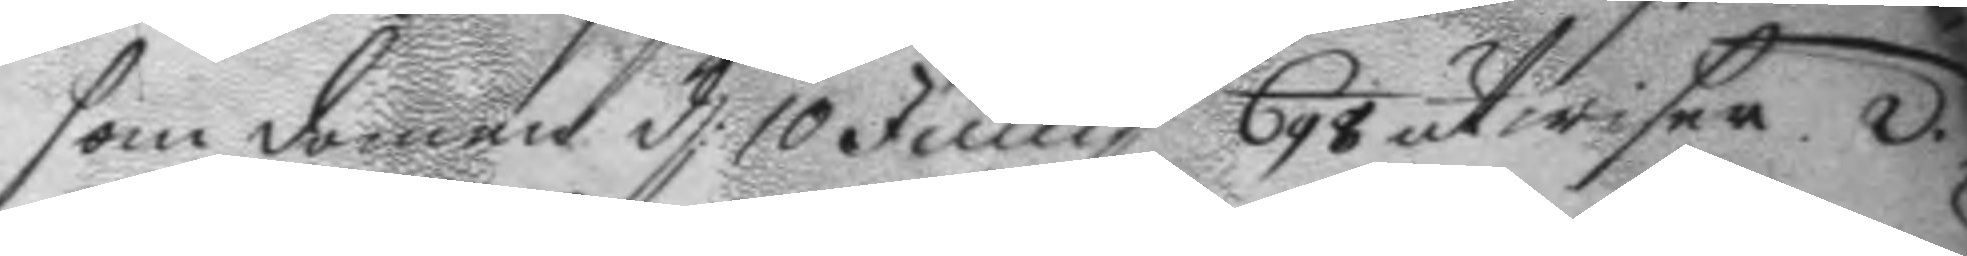som domen d: 10 Juny 698 utwiser. 2. 
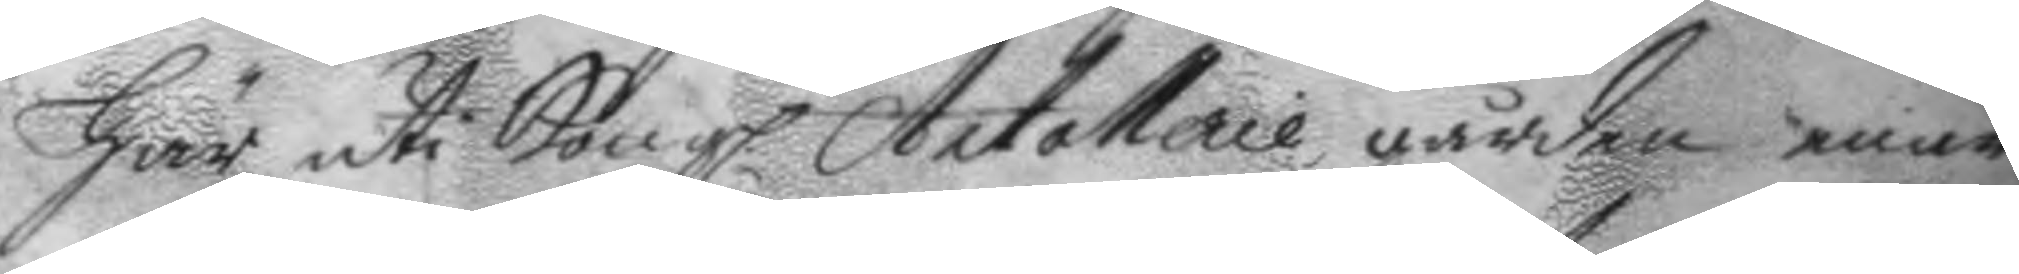Här uti Kongl. Artollerie gården enär
